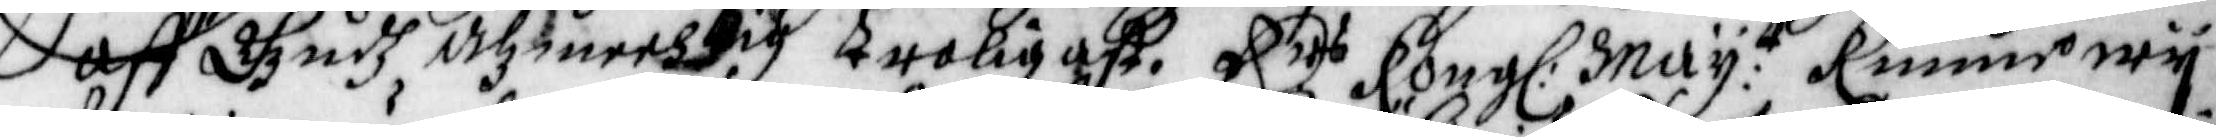aff Gudh, Alzmechtig troligast. Ers Kong: May:tt Kunne wij
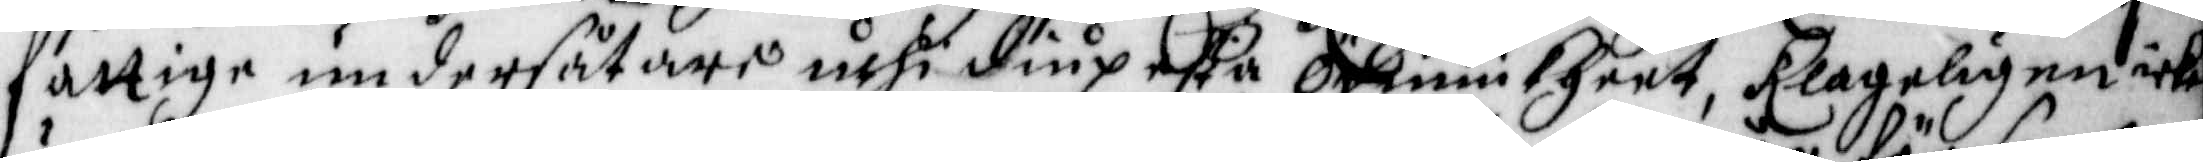fattige undersåtare uthi diupesta Ödmiukheet, Klageligen icke
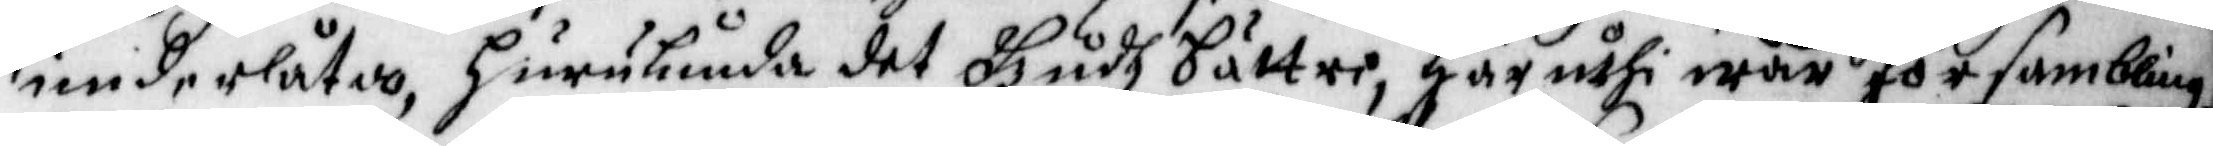underlåta, hurulunda det Gudh bättre, Här uthi wår försambling,
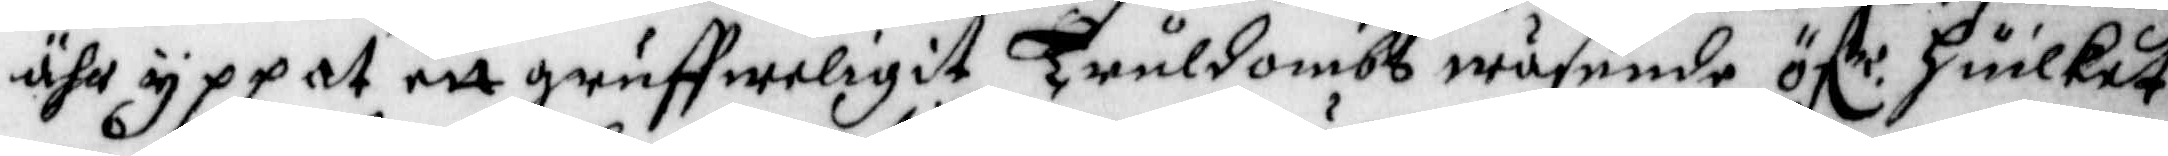ähr yppat ett gruffweligit Truldombs wäsende, öf.r huilket
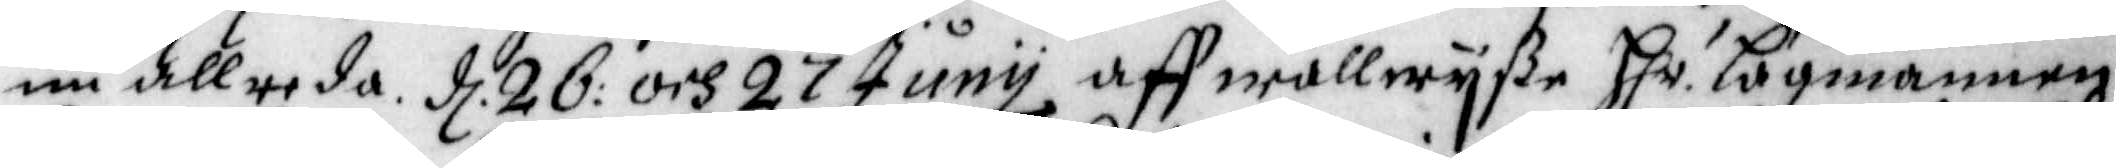nu allreda. d. 26: och 28 Junij aff wällwijße h.r Lagmannen
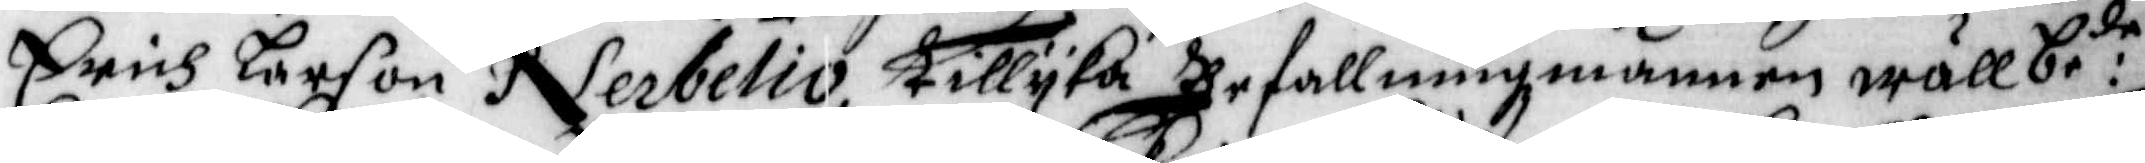Erich Larson Nerbelio tillijka Befallningsmannen wällbe:de
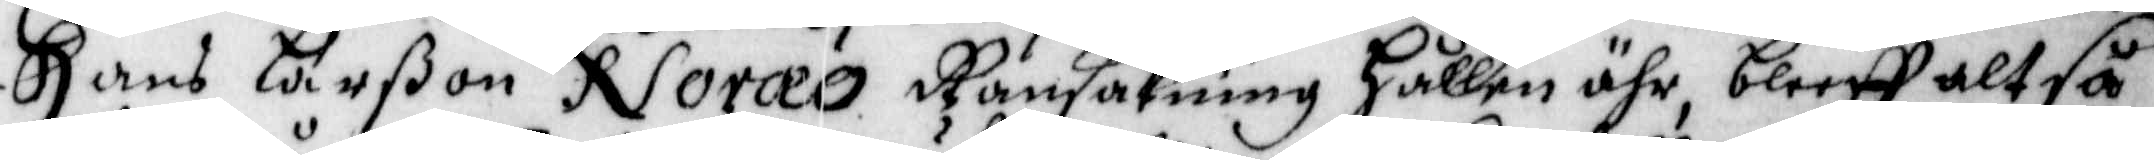Erich Larßon Noraeo Ransakning hållen ähr, bleeff altså
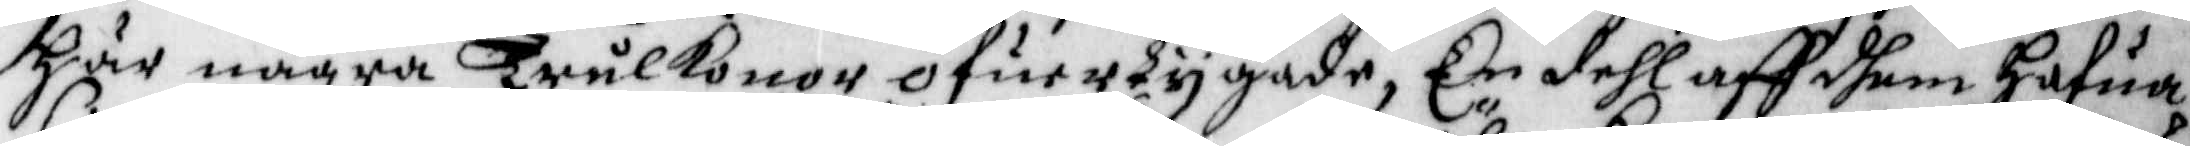här några Trulkonor öfuertygade, En dehl aff dhem Hafua
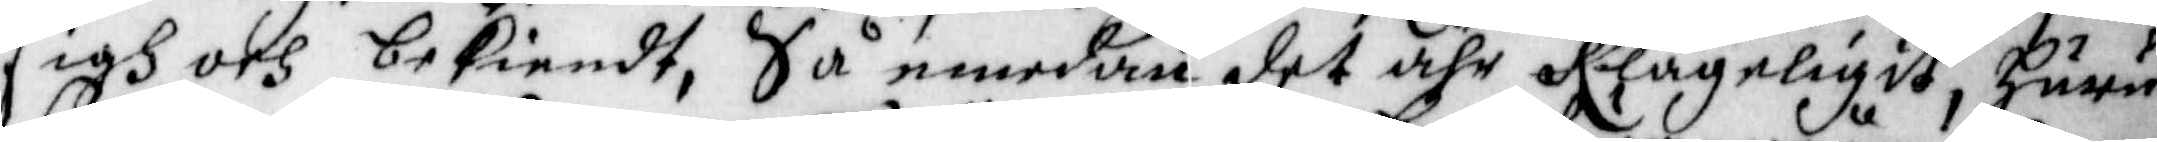sigh och bekiendt, Så emedan det ähr Klageligit, huru
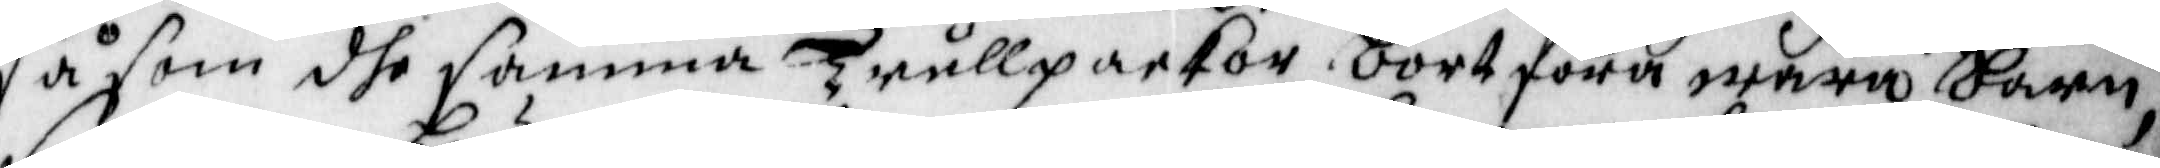såsom dhe samma Trullpackor bortföra wåra barn,
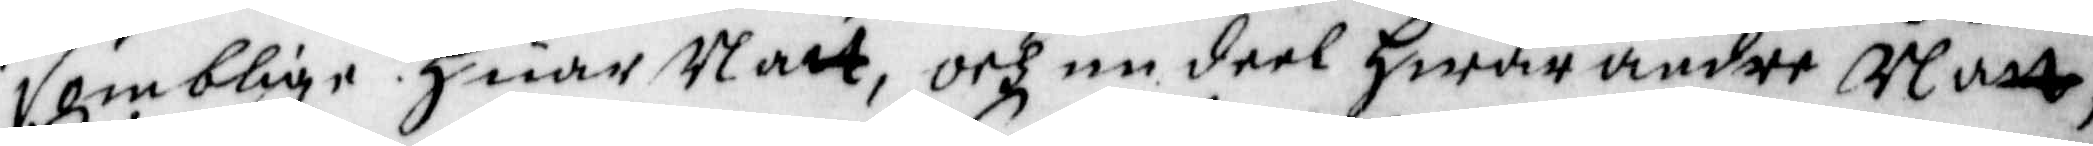somblige Huar Natt, och en deel Hwar andre Natt,
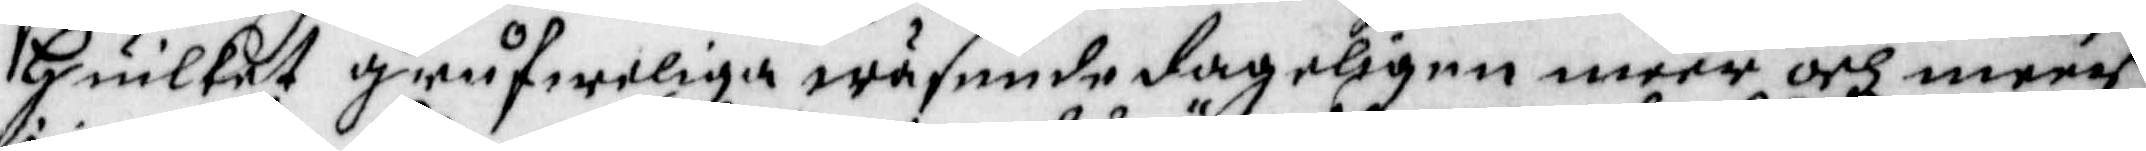Huilket grufweliga wäsende dageligen meer och meer
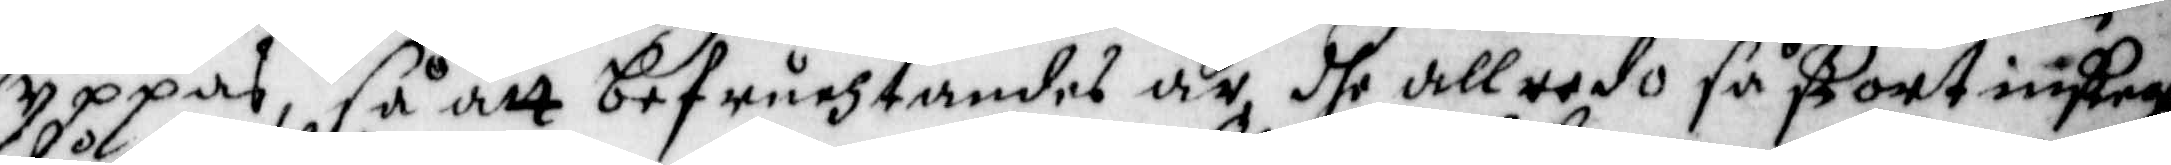yppas, så att befruchtandes är, dhe allredo så stort insteg
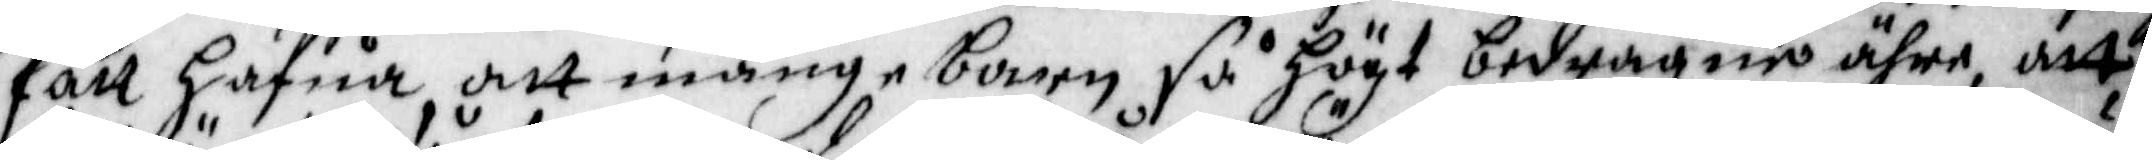fått hafua, att månge barn så högt bedragne ähre, att
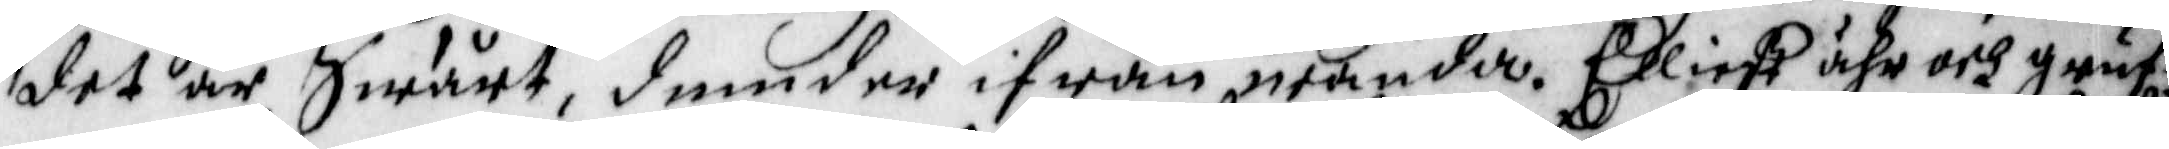det är Swårt, dem der ifrån wända. Elließt ähr och gruf¬
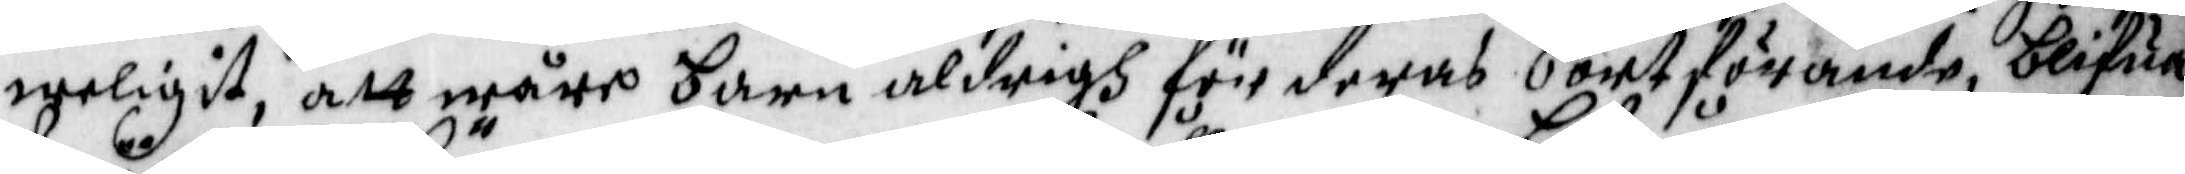weligit, att wåre barn aldrigh för deras bortförande, blifua
